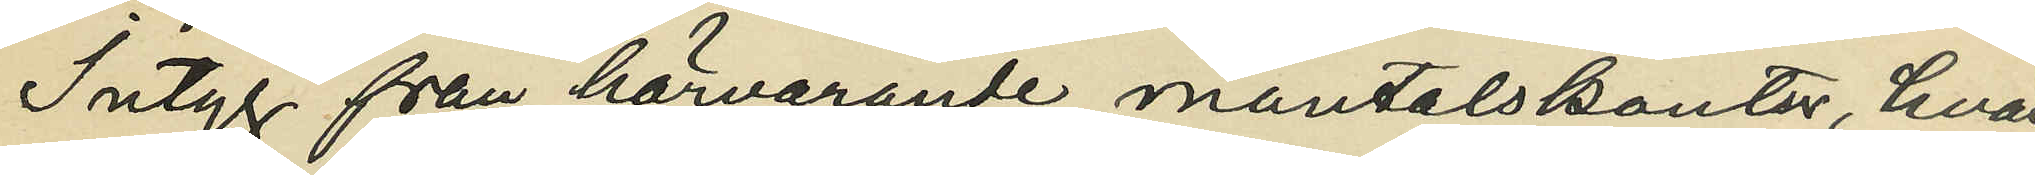Intyg från härvarande mantalskontor, hvar¬
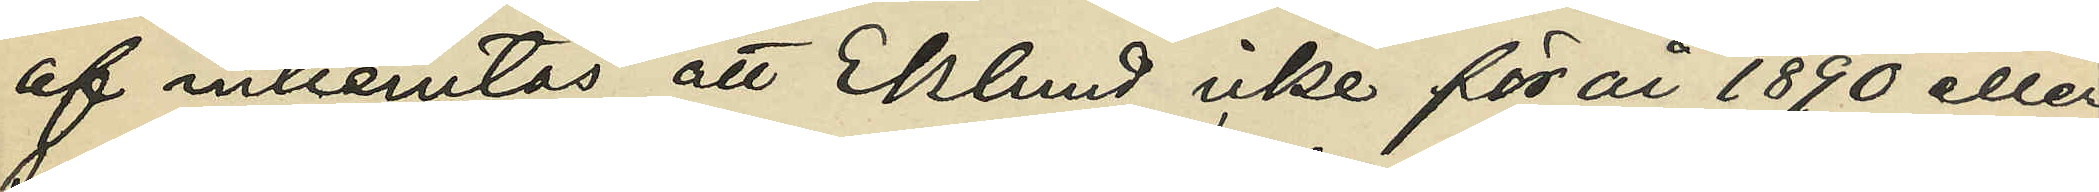af inhemtas att Eklund icke för år 1890 eller
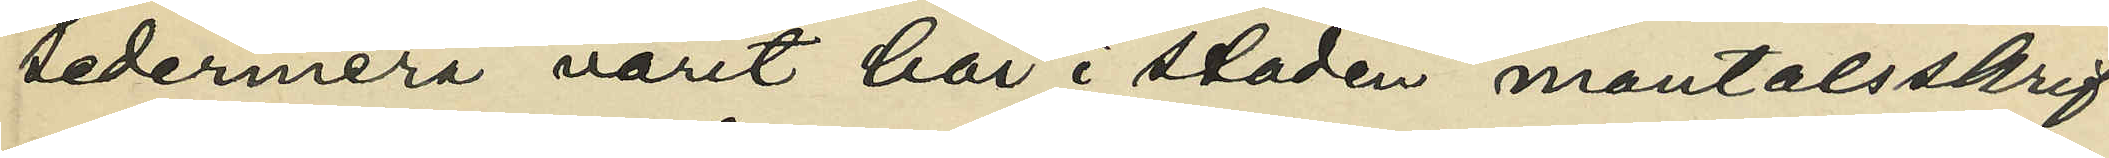sedermera varit här i staden mantalsskrif¬
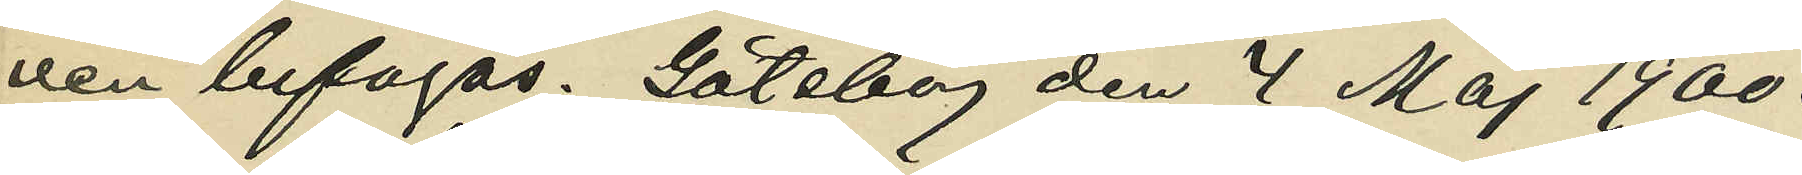ven bifogas. Göteborg den 4 Maj 1900.
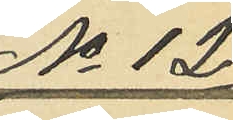No 12
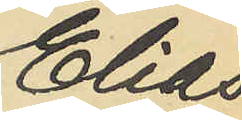Elias
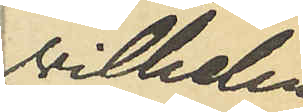Vilhelm
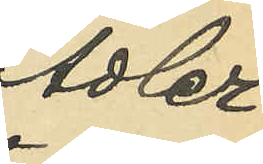Adler.
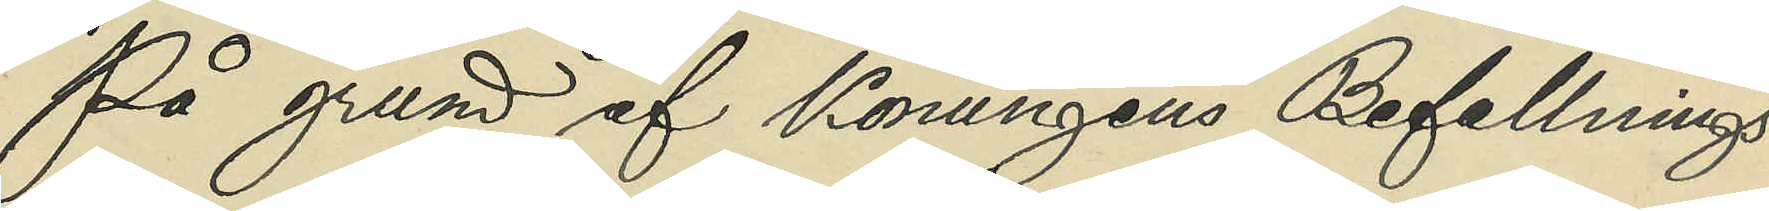På grund af Konungens Befallnings¬
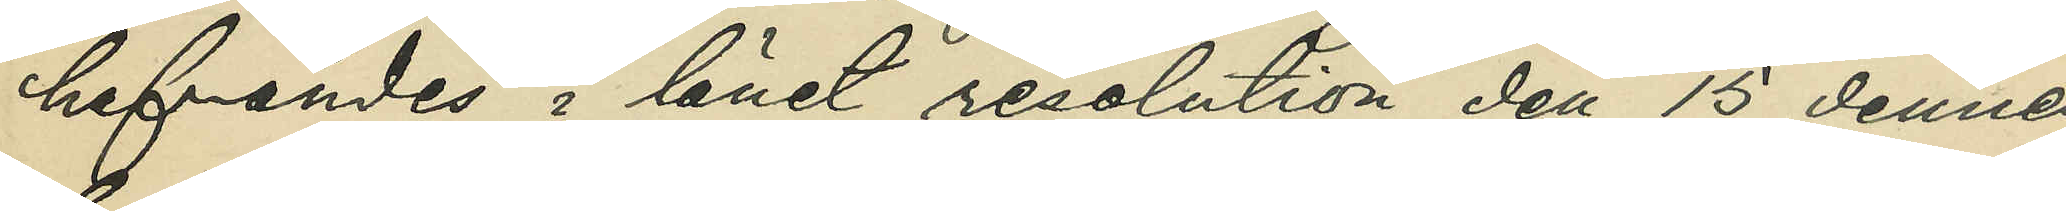hafvandes i länet resolution den 15 dennes,
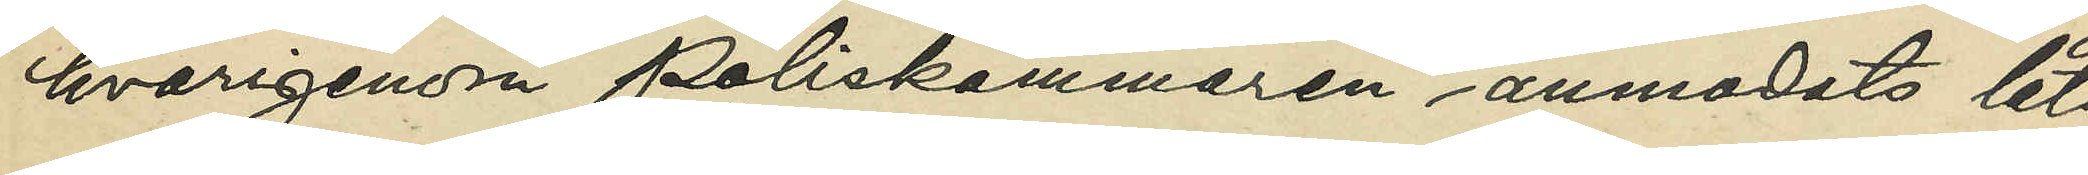hvarigenom Poliskammaren anmodats låta
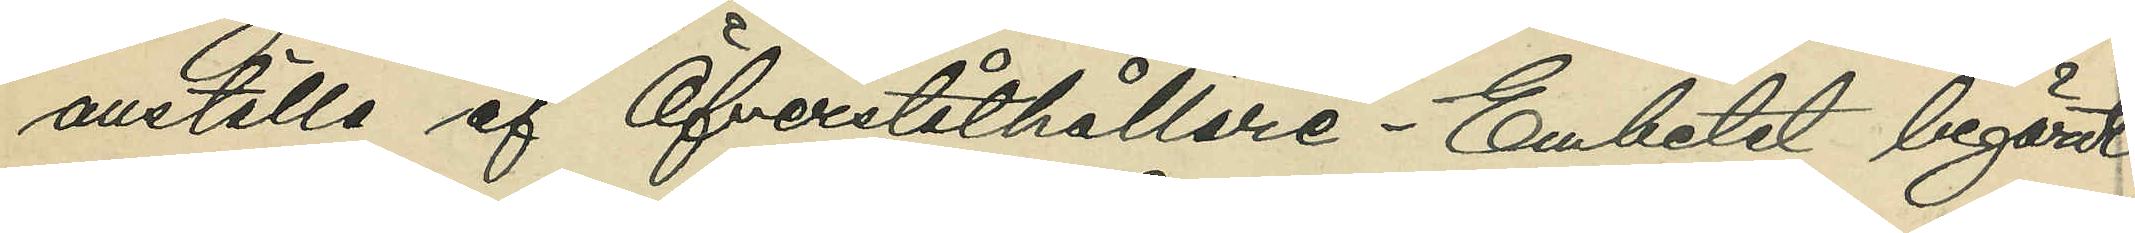anställa af Öfverståthållare- Embetet begärdt
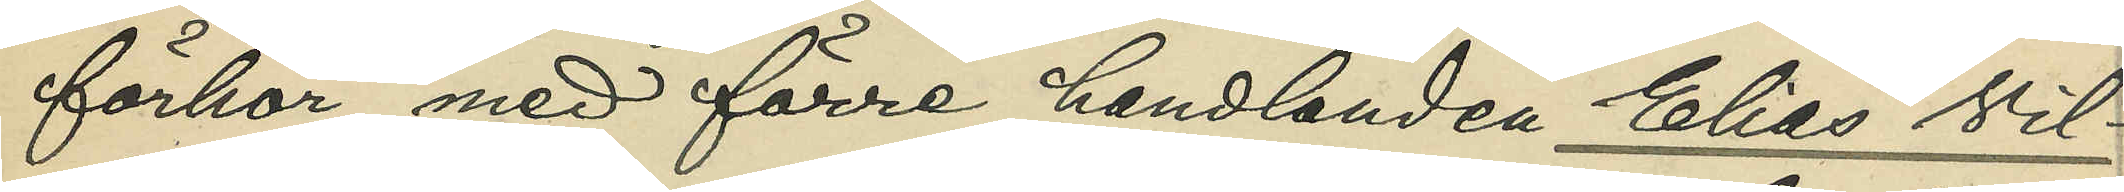förhör med förre handlanden Elias Vil¬
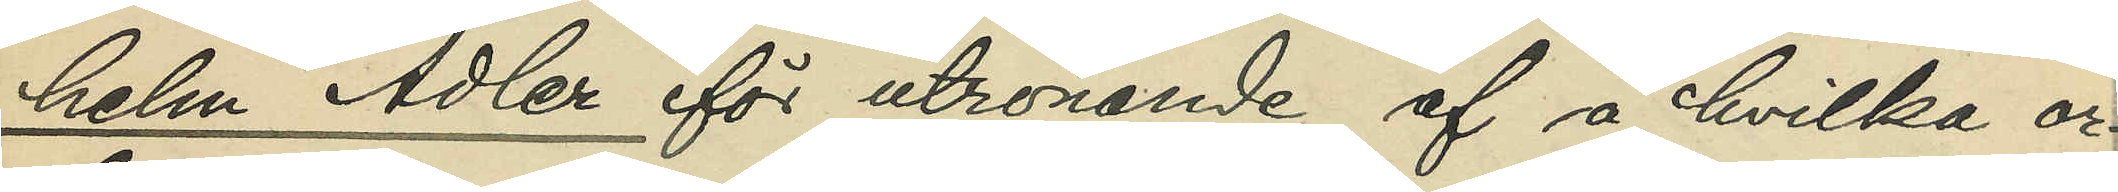helm Adler för utrönande af å hvilka or¬
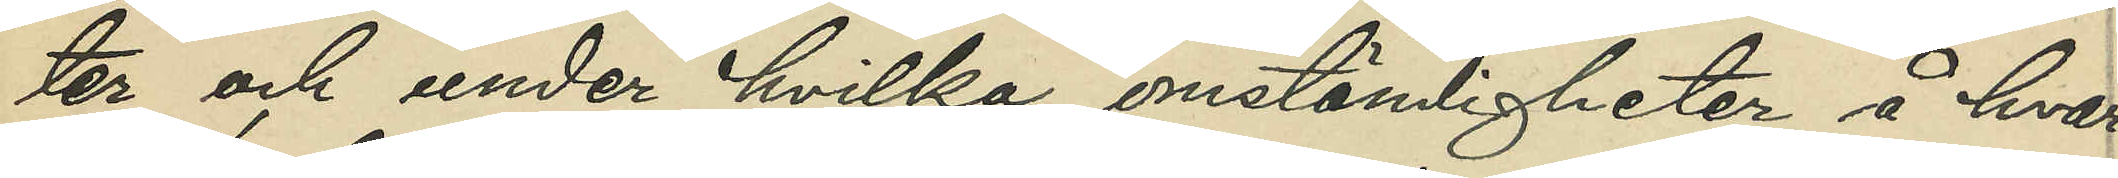ter och under hvilka omständigheter å hvar¬
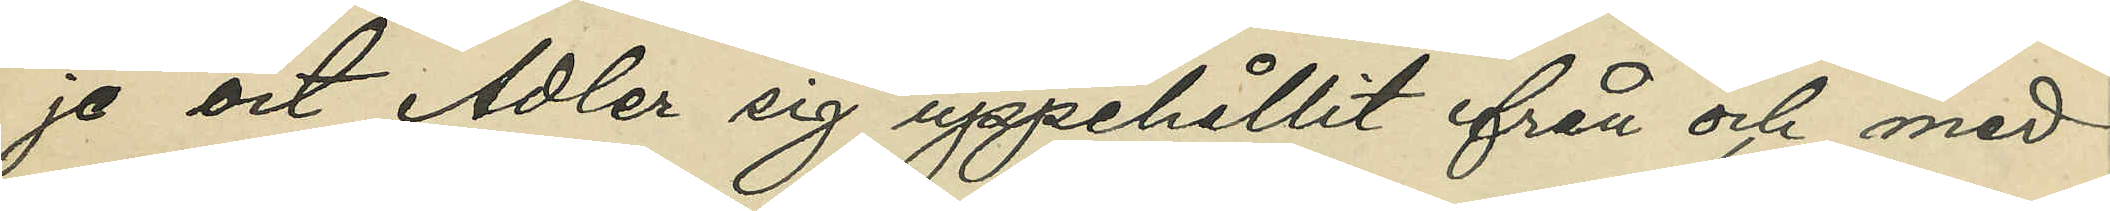je ort Adler sig uppehållit från och med
